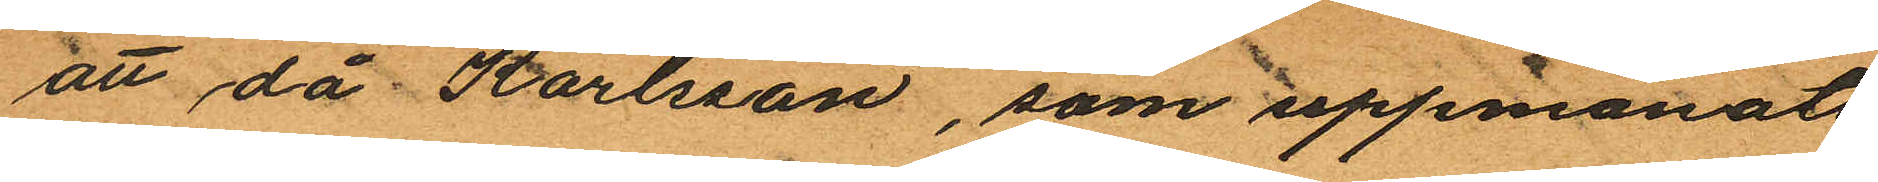att då Karlsson, som uppmanats
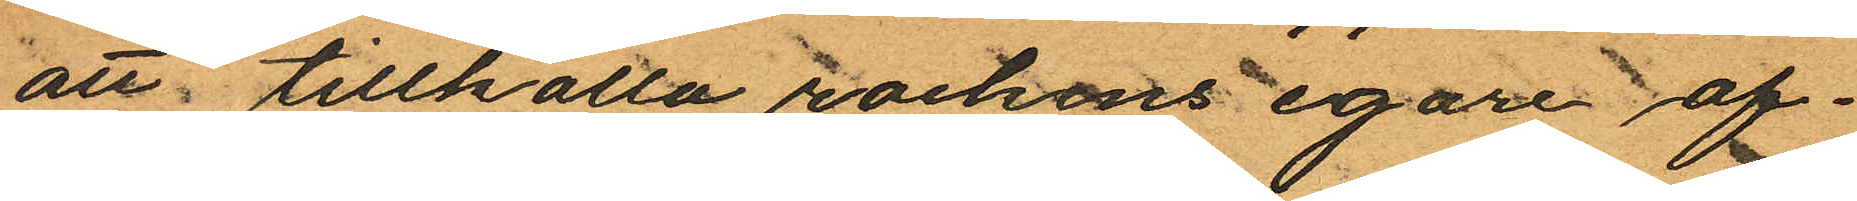att tillhålla rockens egare af¬
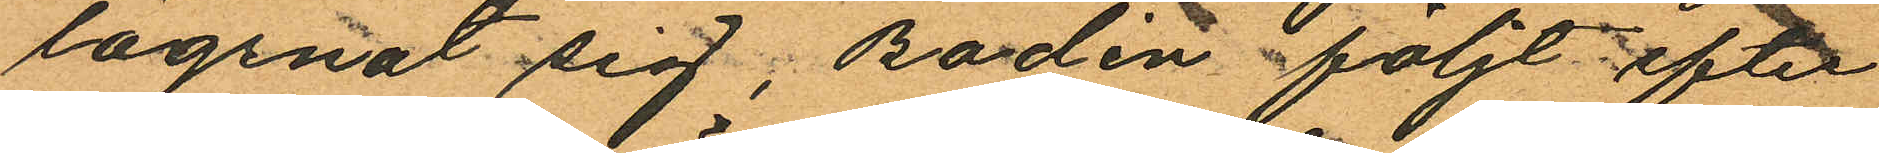lägsnat sig; Bodén följt efter
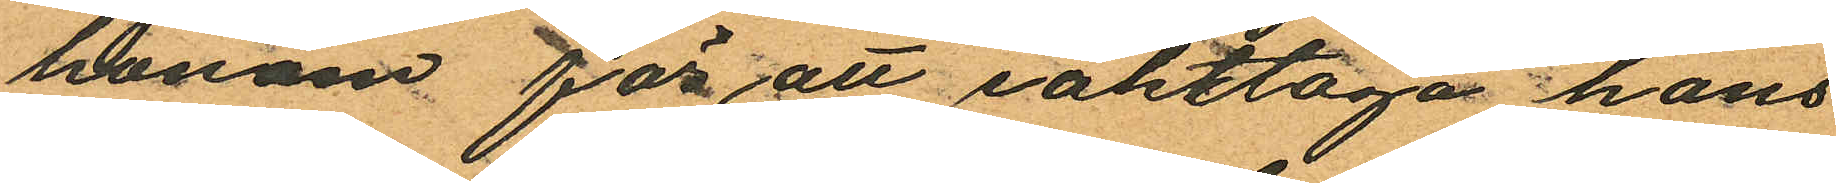honom för att iakttaga hans
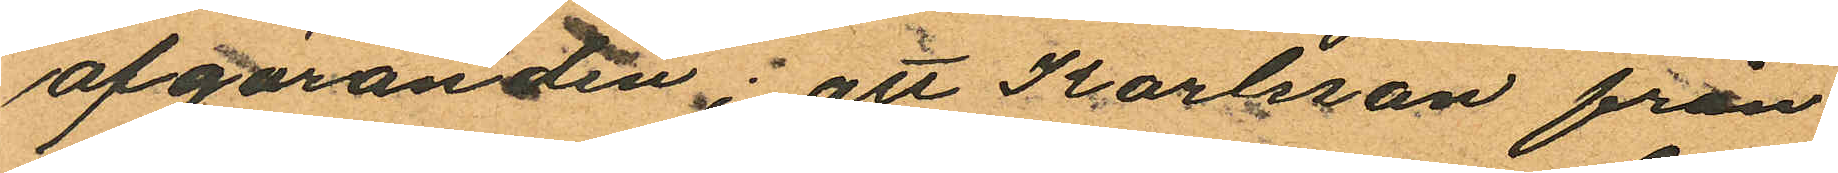afgöranden; att Karlsson från
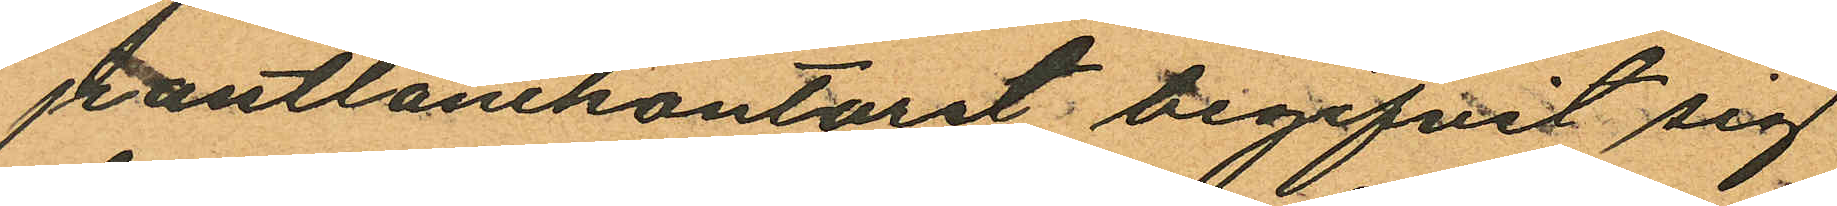pantlånekontoret begifvit sig
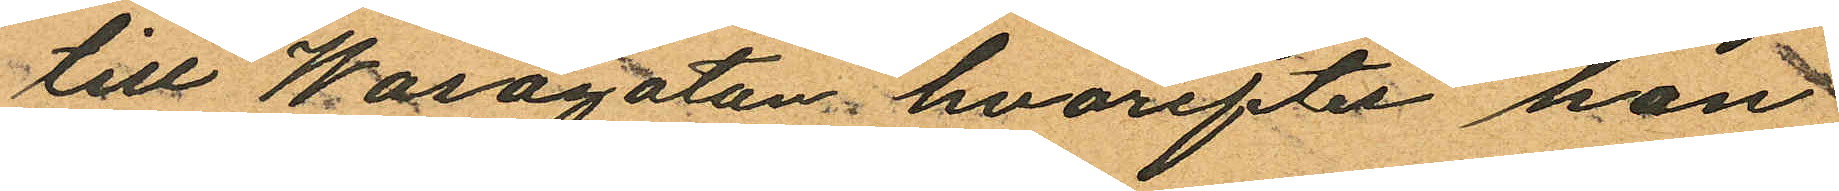till Wasagatan, hvarefter han
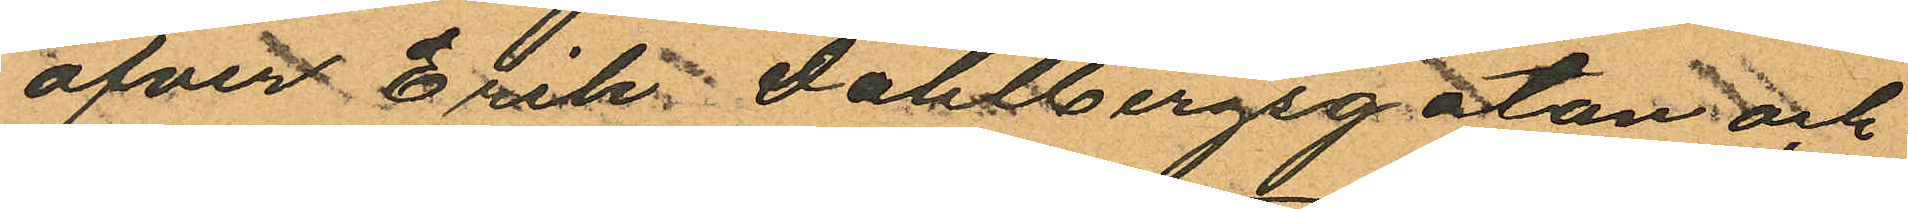öfver Erik Dahlbergsgatan och
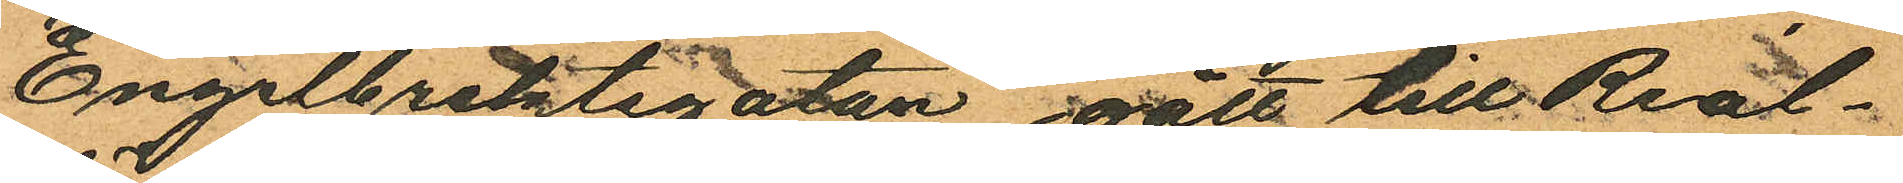Engelbrektsgatan gått till Real¬
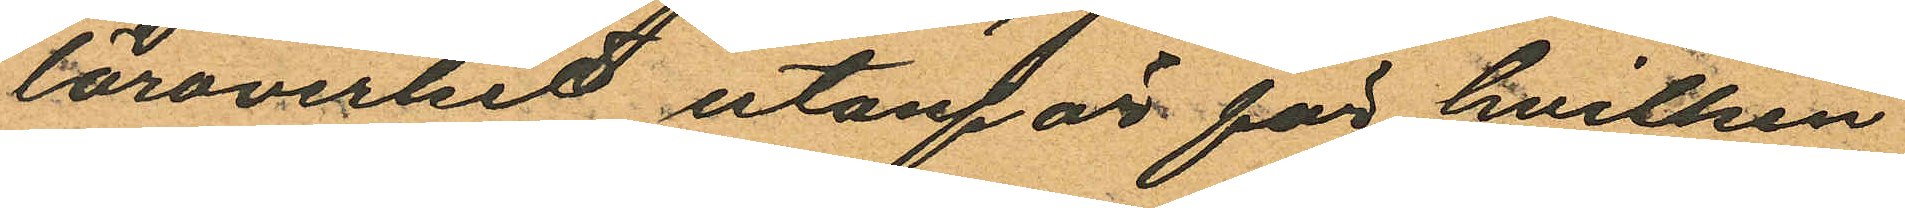läroverket utanför för hvilken
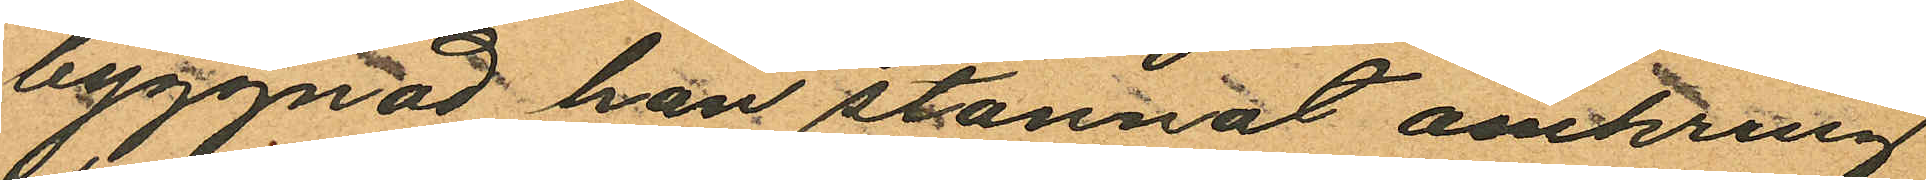byggnad han stannat omkring
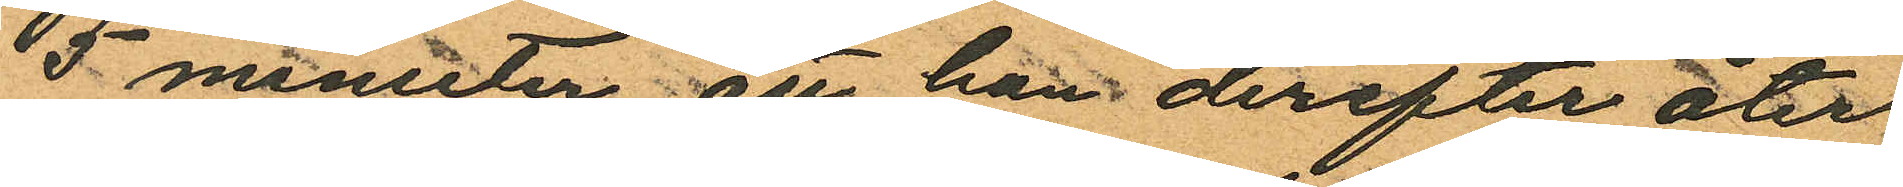5 minuter; att han derefter åter
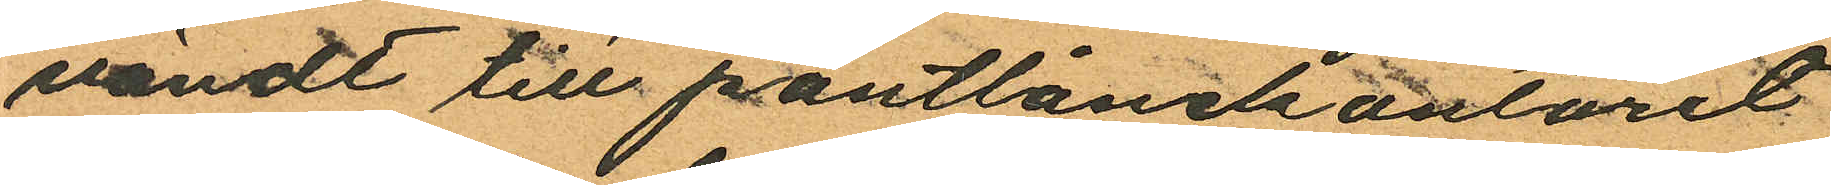vändt till pantlånekontoret
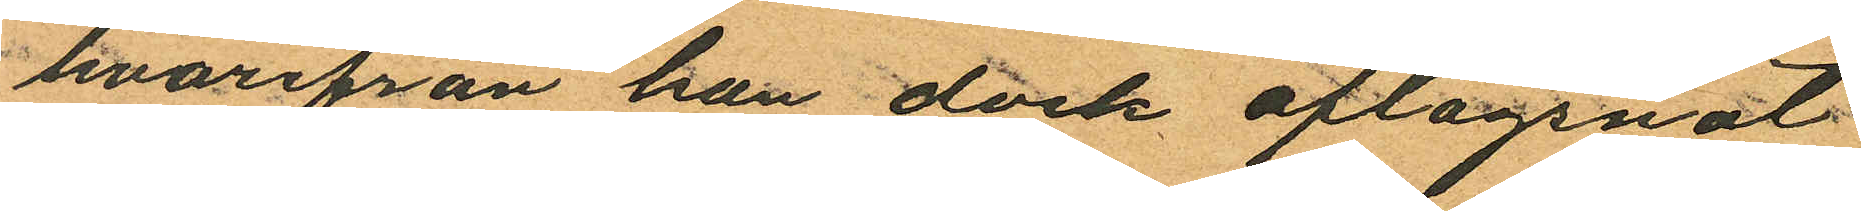hvarifrån han dock aflägsnat
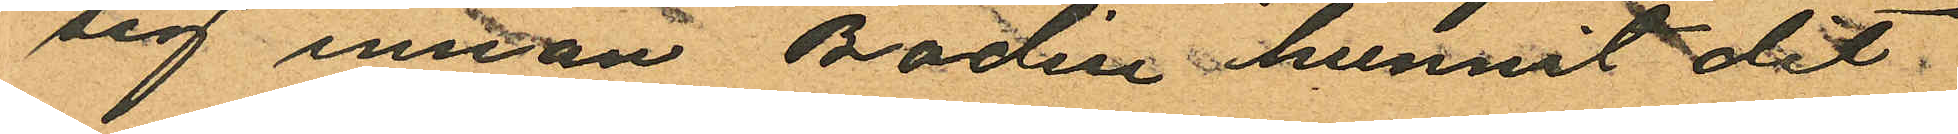sig innan Bodén hunnit dit
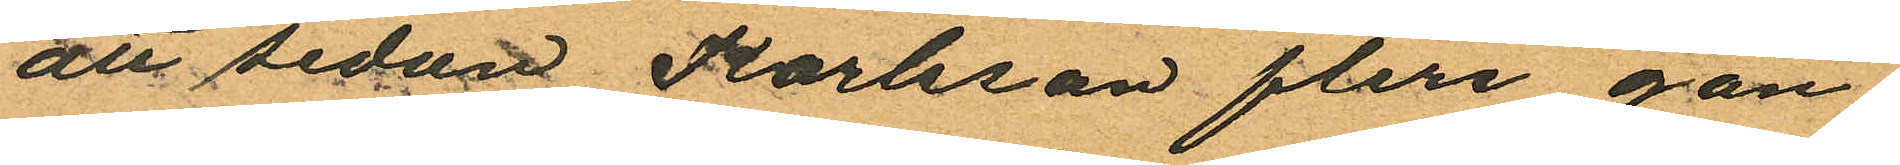att sedan Karlsson flere gån¬
